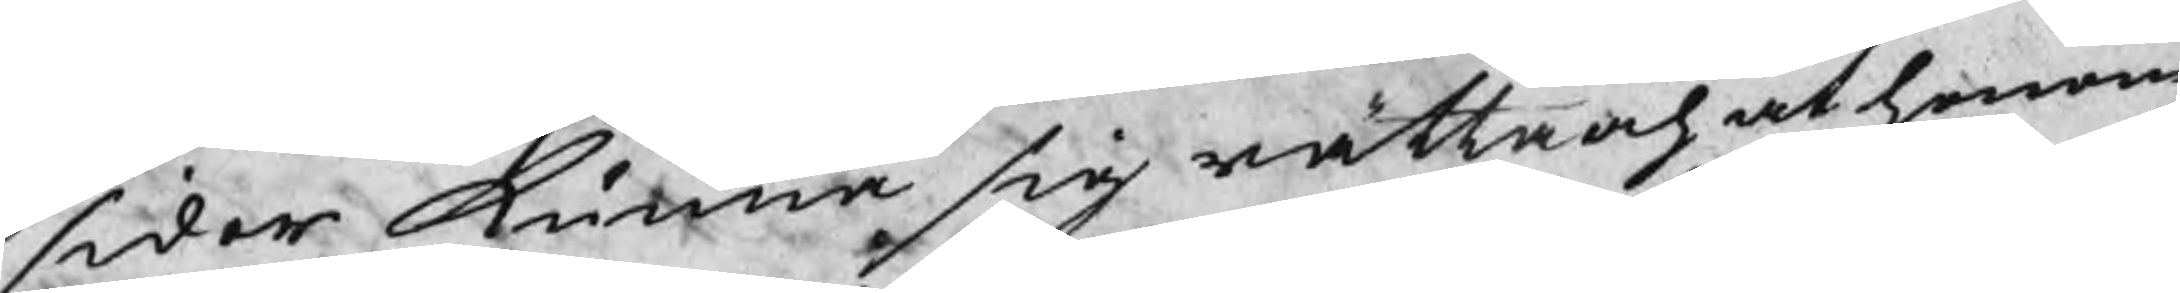sidor kunna sig rätta och at honom
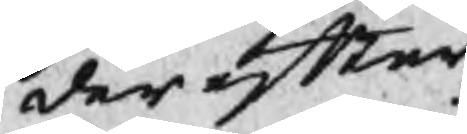der efter
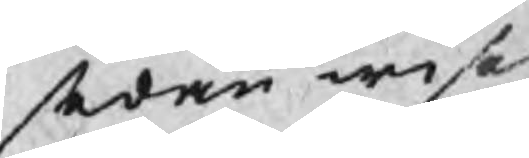sedan wises
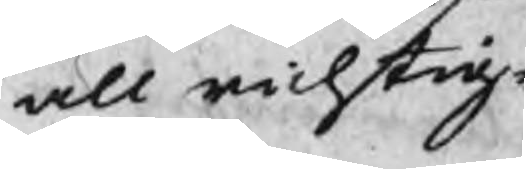all richtig¬
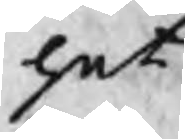het
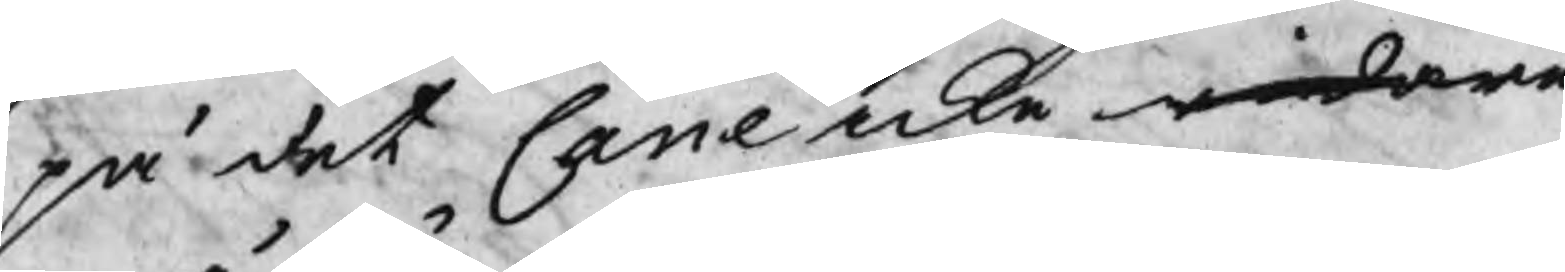på det Cane icke widare
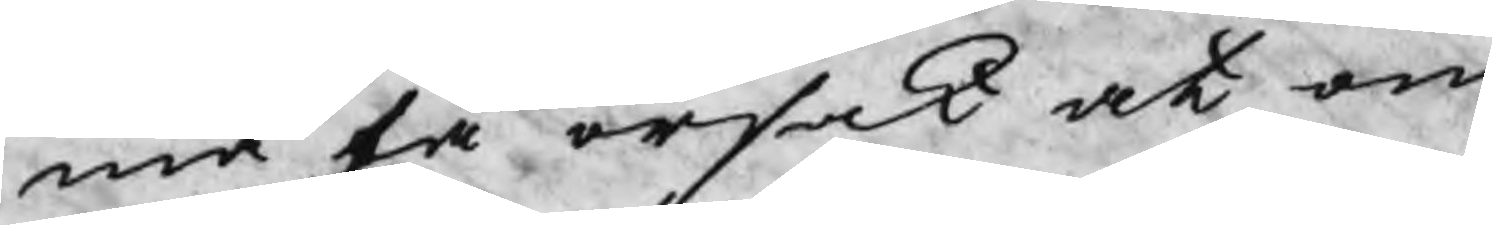må få orsak at om
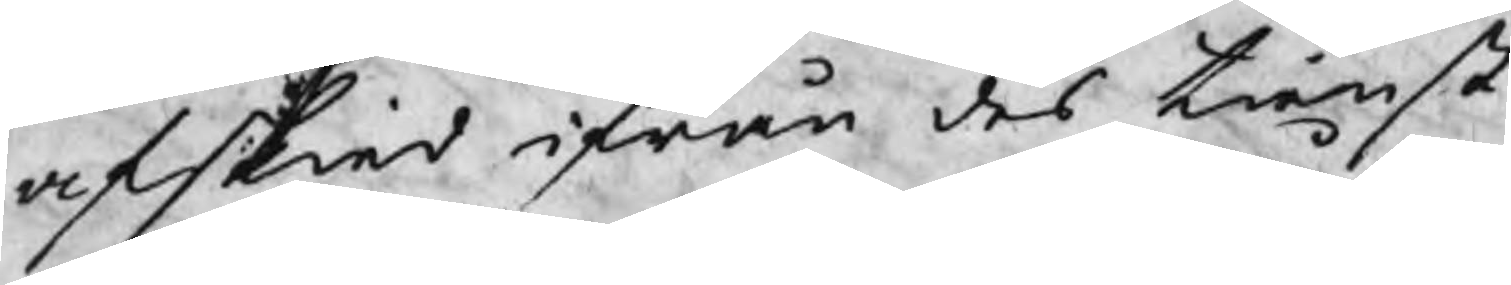afskied ifrån des tienst
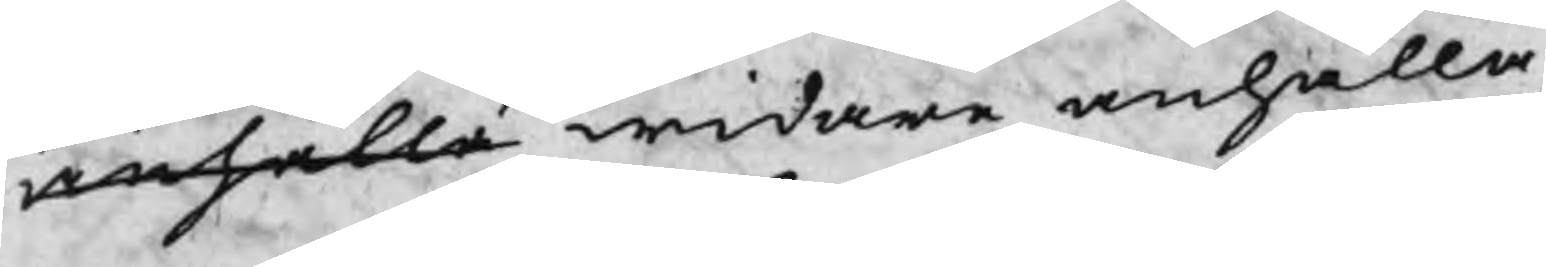anhålla widare anhålla,
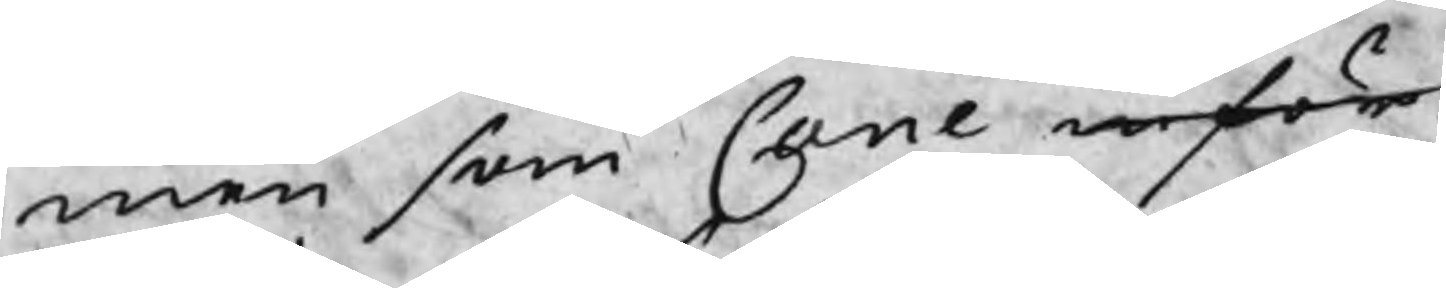men som Cane inför
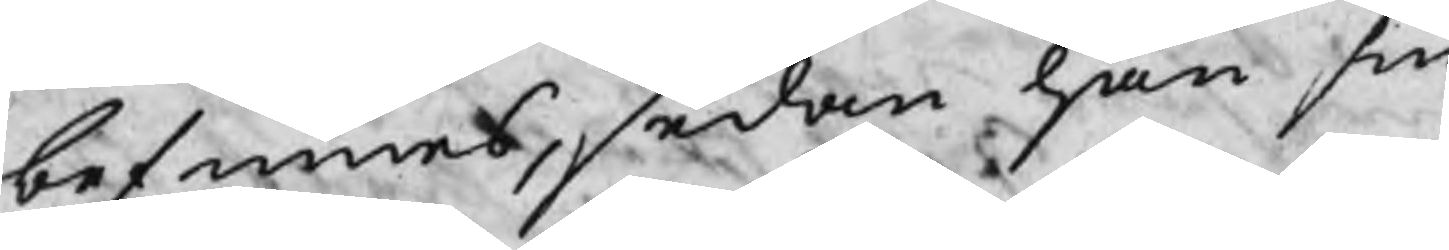befinnes, sedan han sin
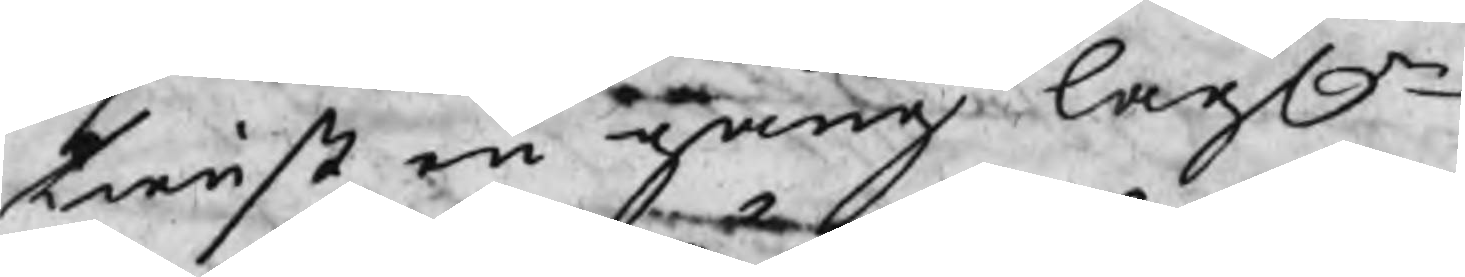tienst en gång lagln
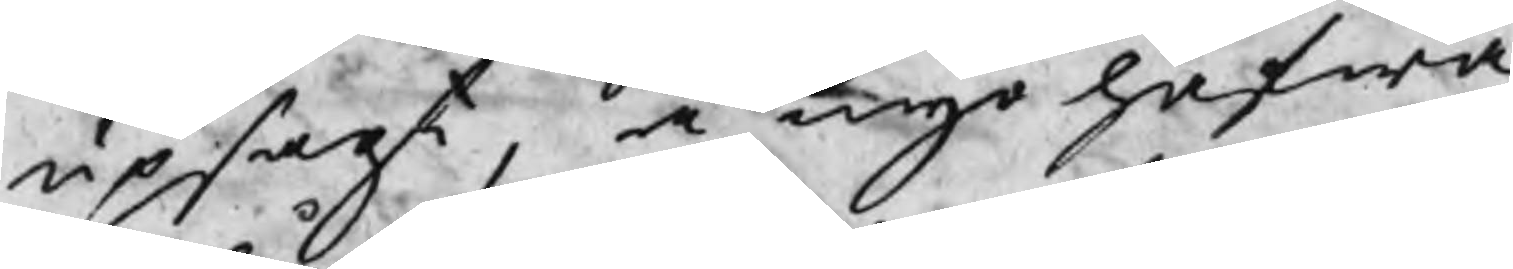upsagt, å nyo hafwa
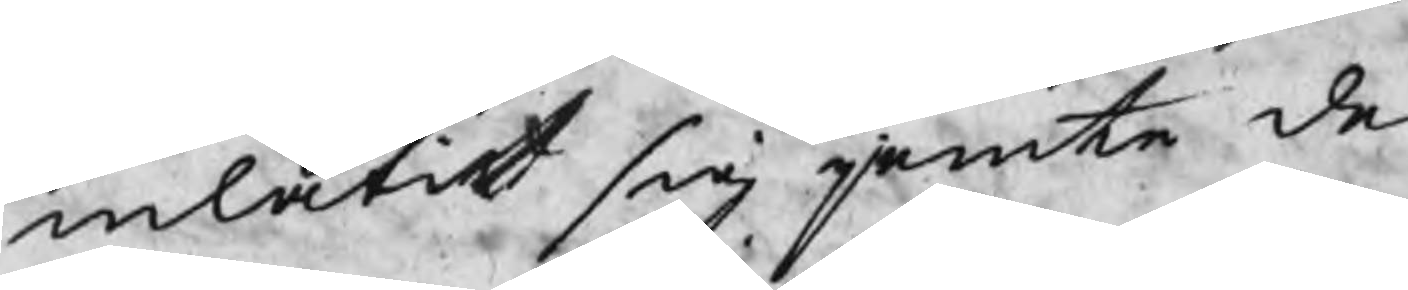inlåtit sig jemte de
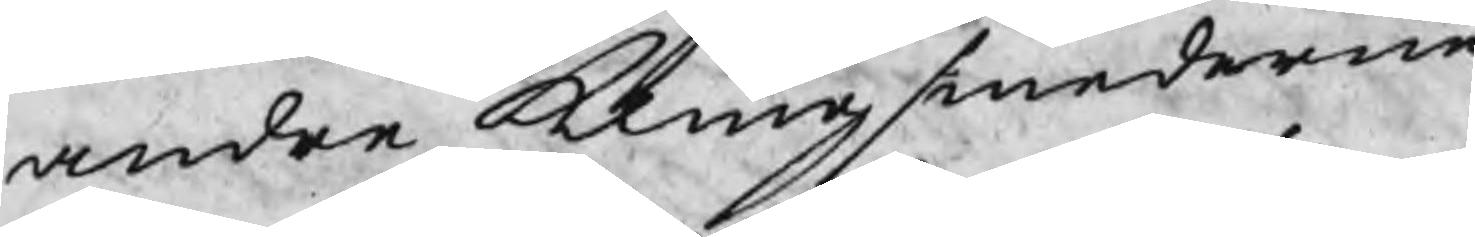andre Klingsmederne
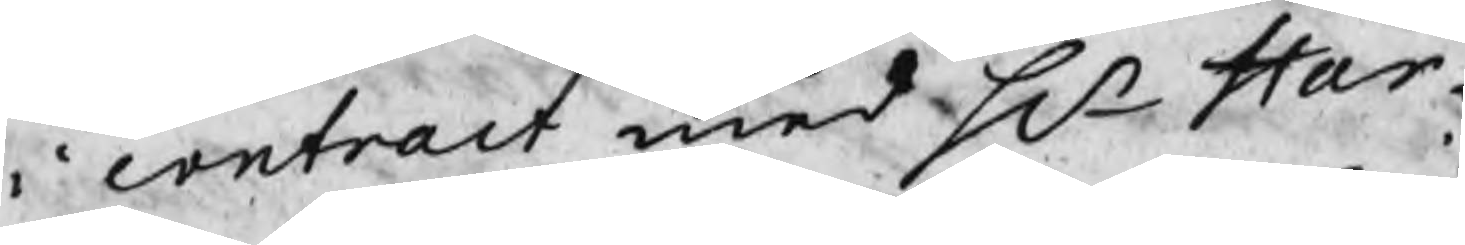i contract med Hr Har¬
